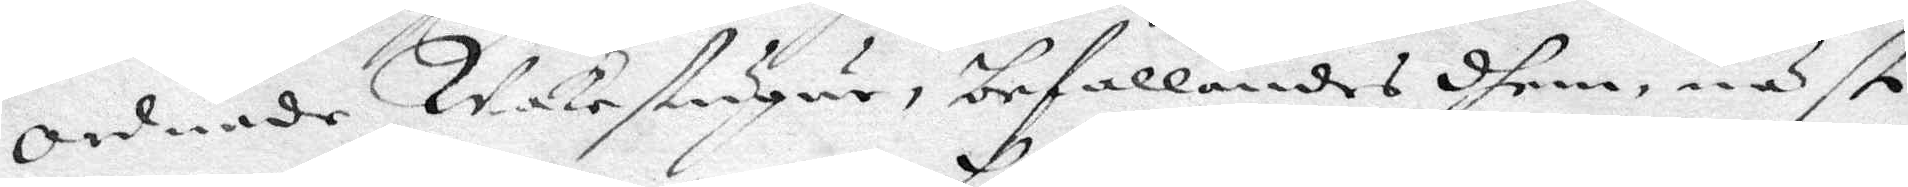ordnade Wakestugur, befallandes dhem, näst
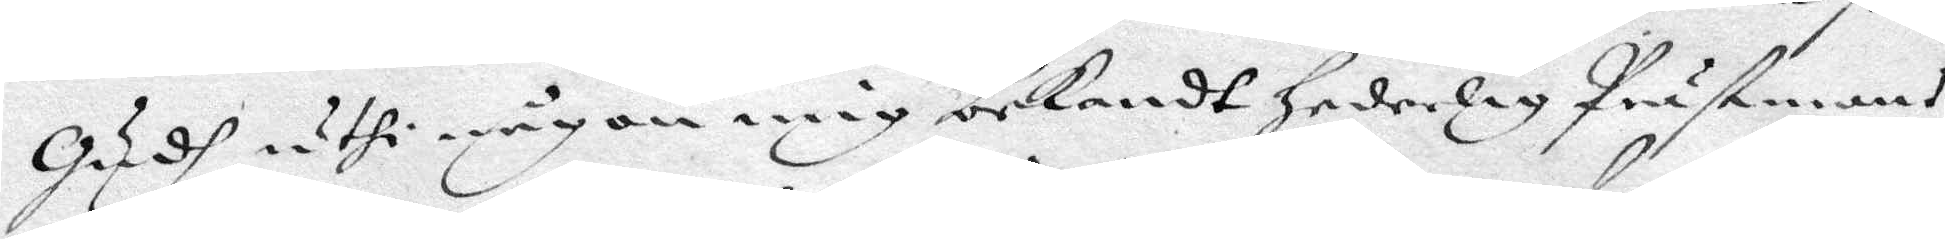Gudh uthi någon mig bekandt hederlig Prästmans
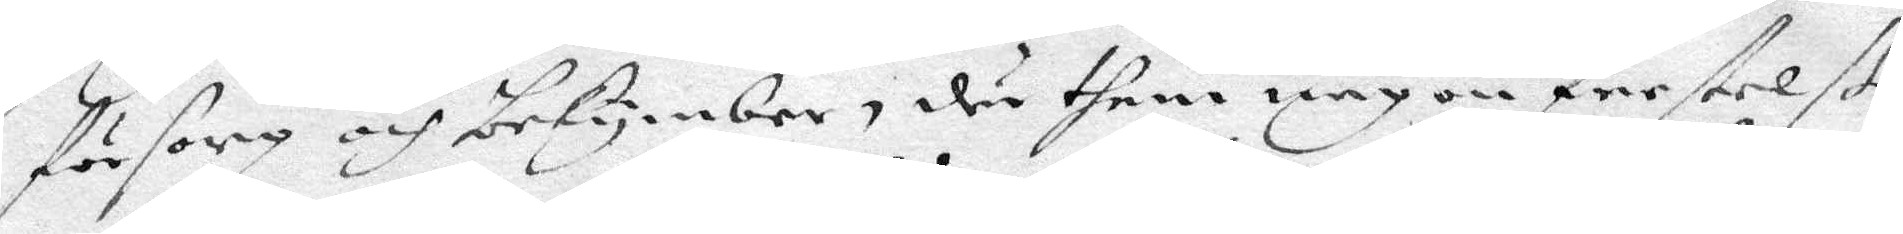försorg och bekymber, där them någon frestelße
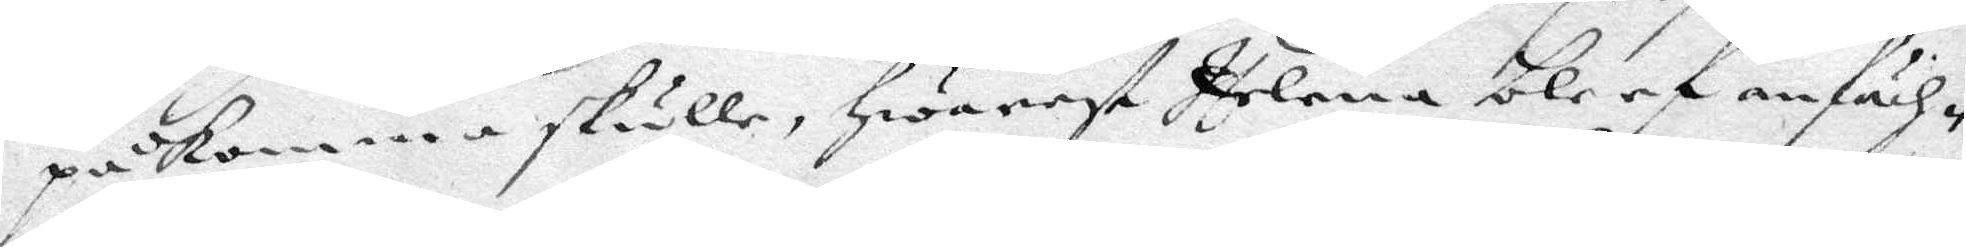påkomma skulle, hwarest Helena bleef anfäch¬
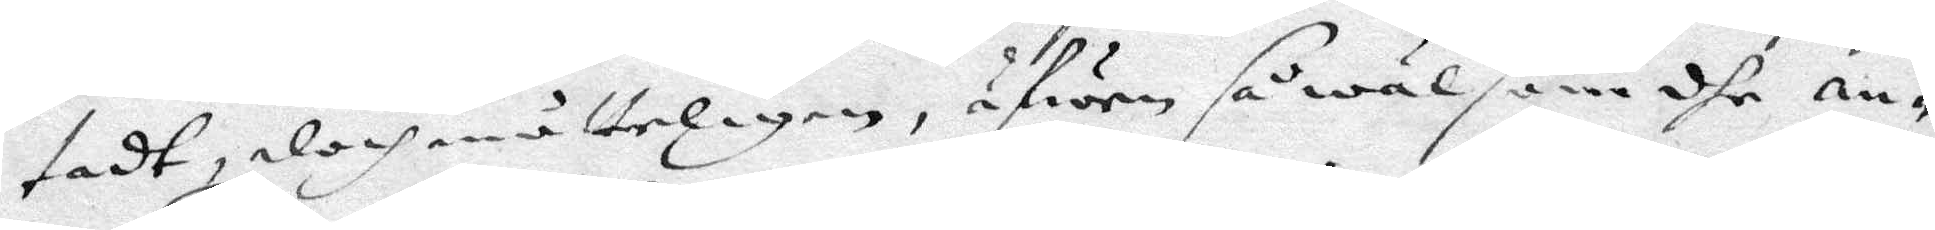tadt, doch måtteligen, äfwen så wäl som dhe an¬
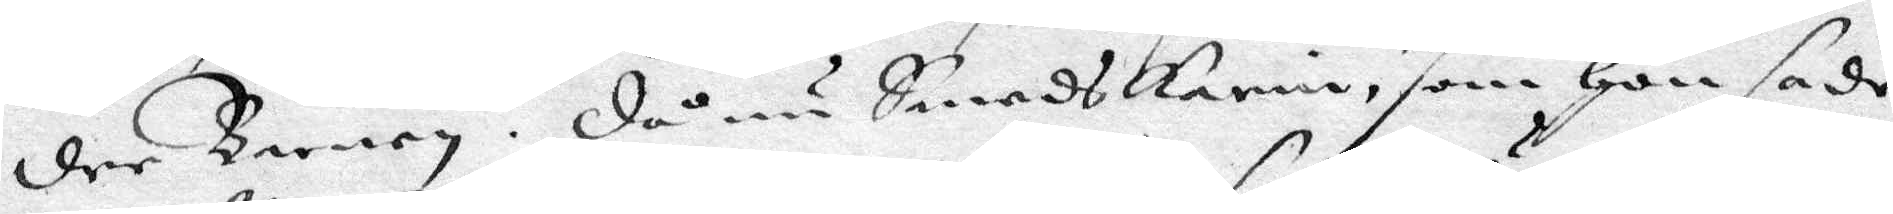dre Barnen. Då nu SmedsKarin, som Hon sade
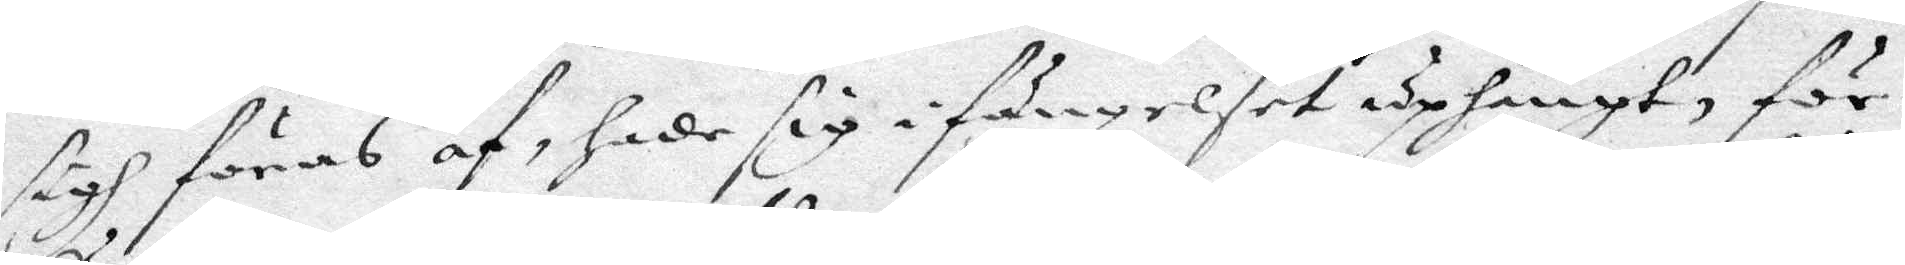sigh föras af, hade sig i fängelset uphängt, för¬
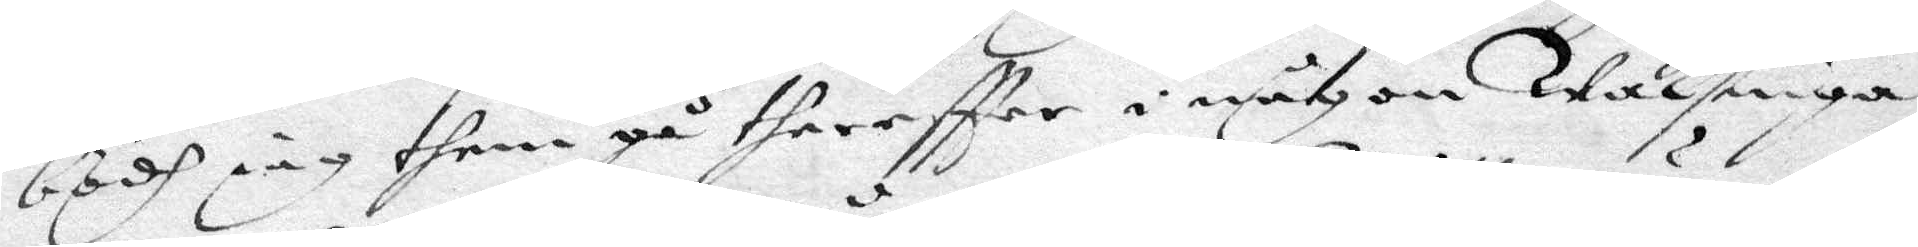bödh iag them gå thereftter i någon Wakstuga
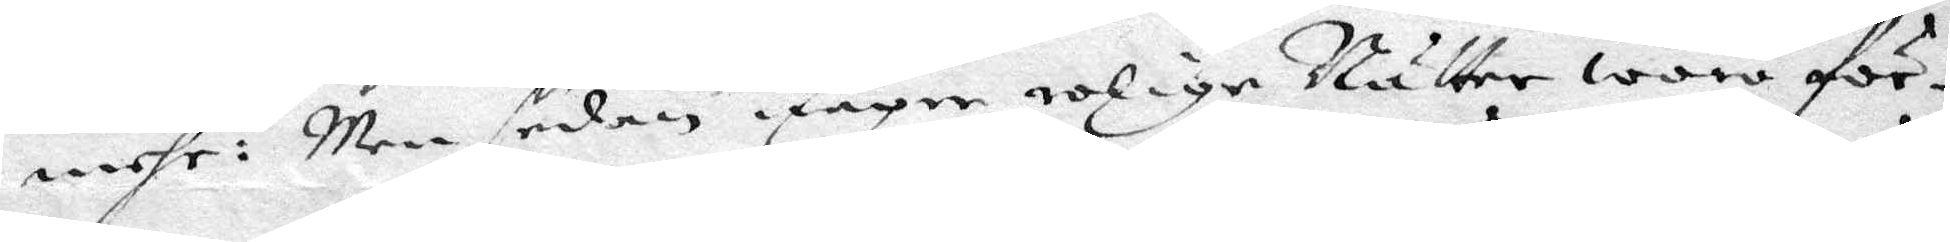mehr: Men sedan någre rolige Nätter woro för¬
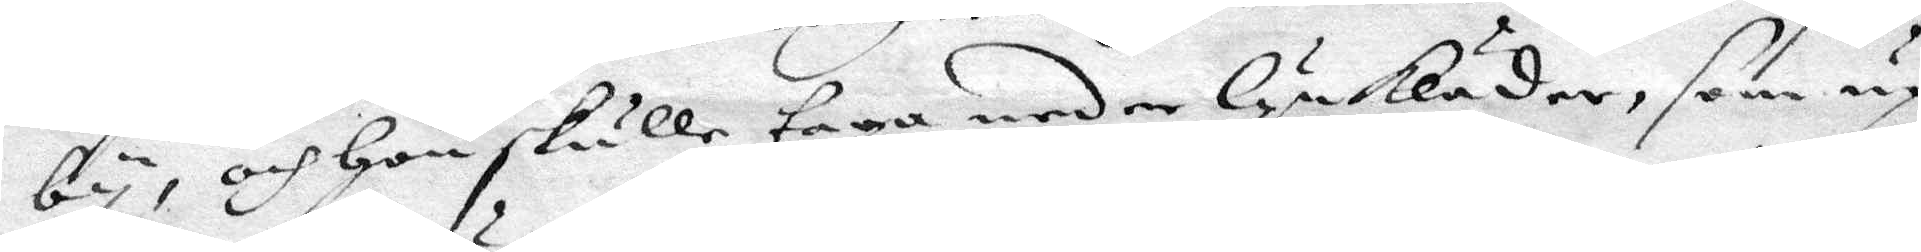by, och Hon skulle taga neder lykläder, som up
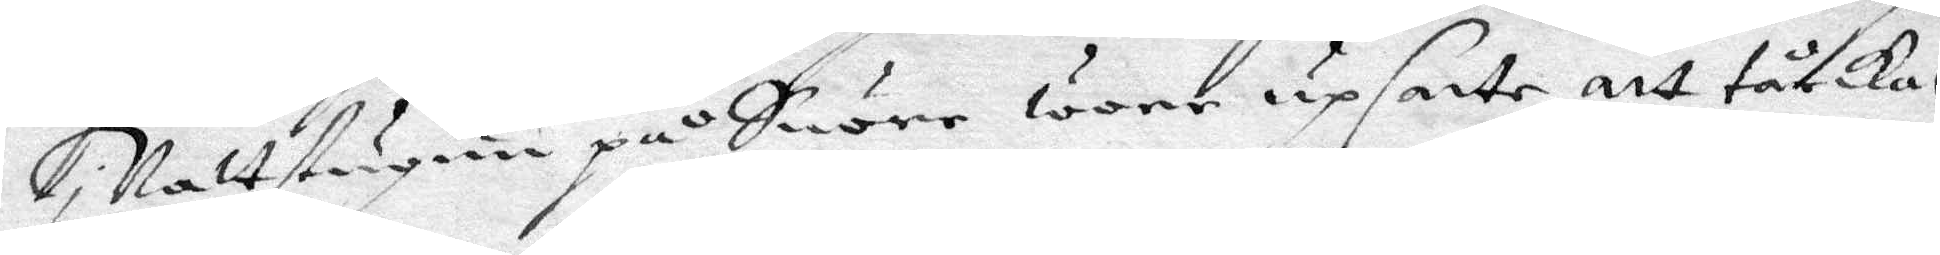i Nattstugun på Snöre wore upsatte att tårkas,
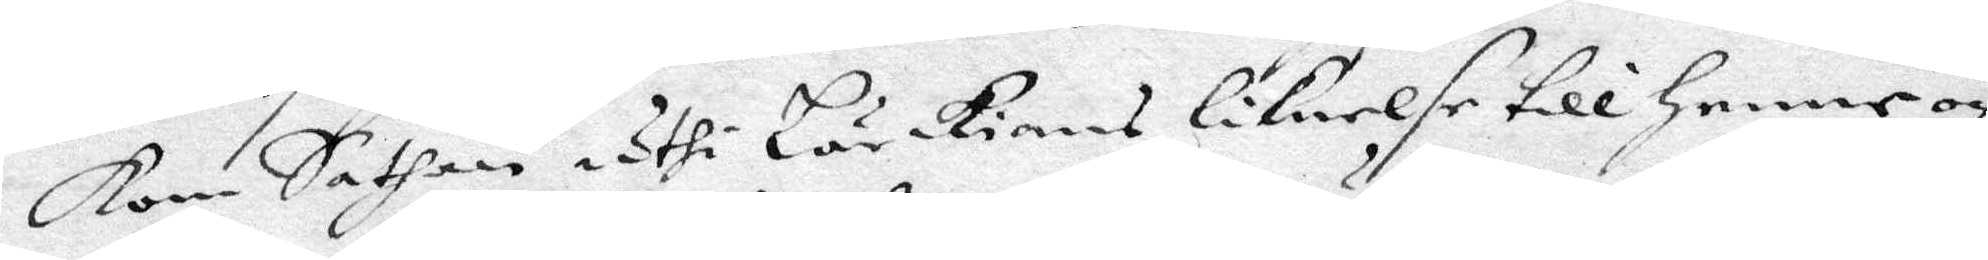kom Sathan uthi Lärkians liknelse till Henne och
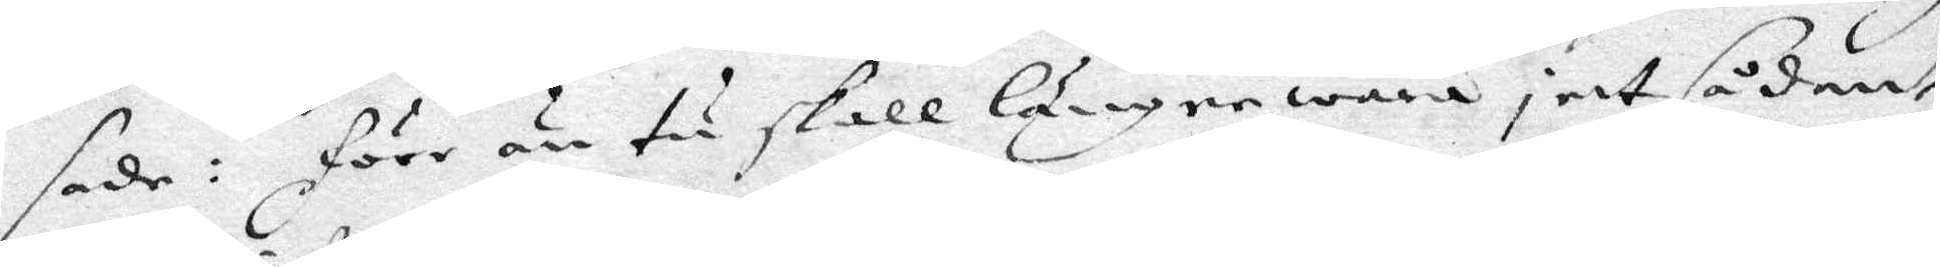sade: förr än tu skall längre wara i ett sådant
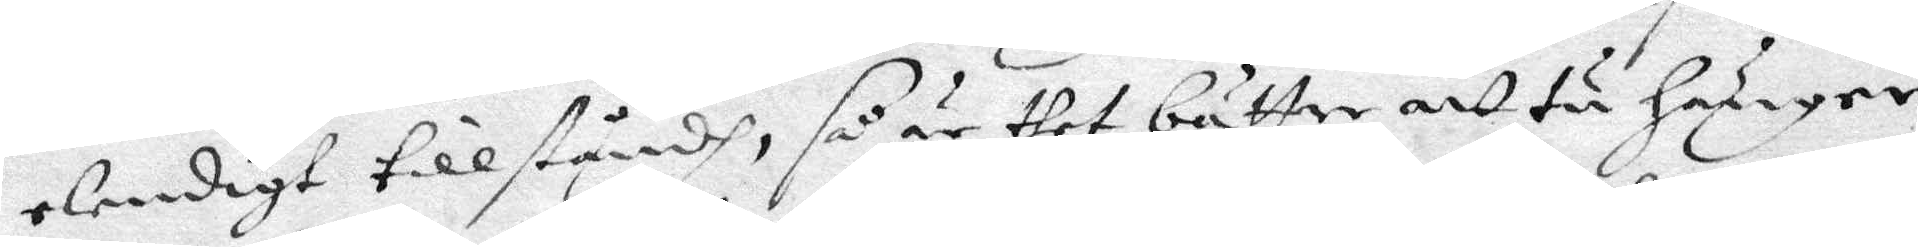elendigt tillståndh, så är dhet bättre att tu hänger
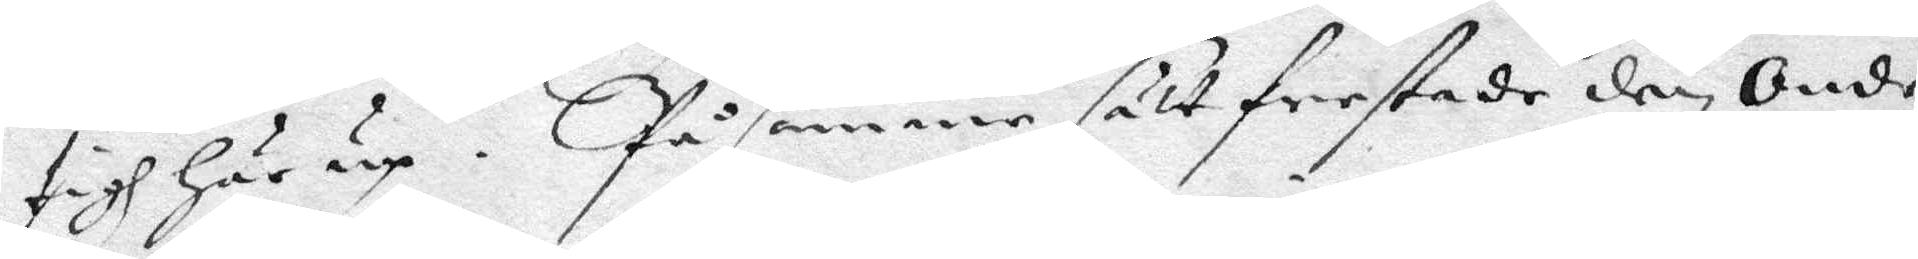tigh här up. På samma sätt frestade den Onde
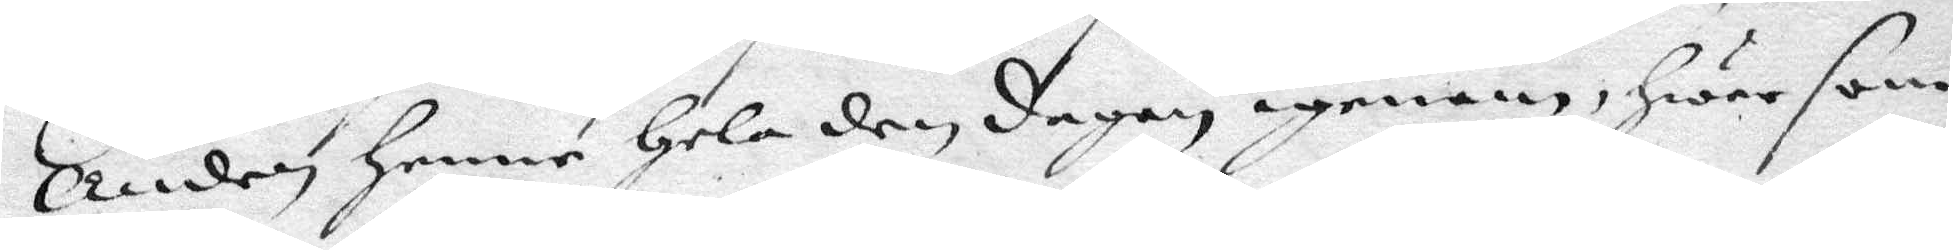Anden Henne Hela den dagen igenom, hwar som
